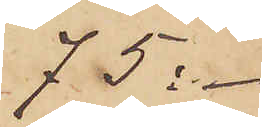75:-
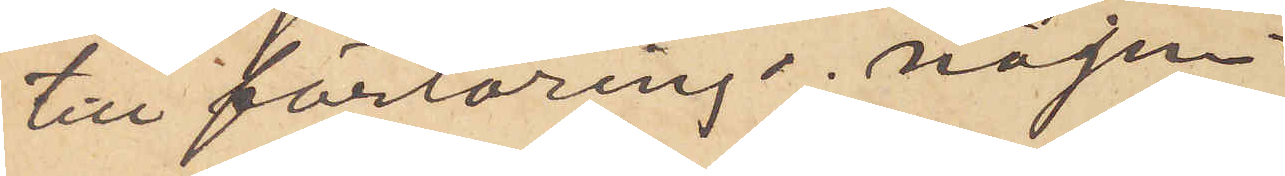till förtäring o nöjen
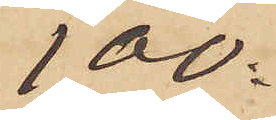100:-
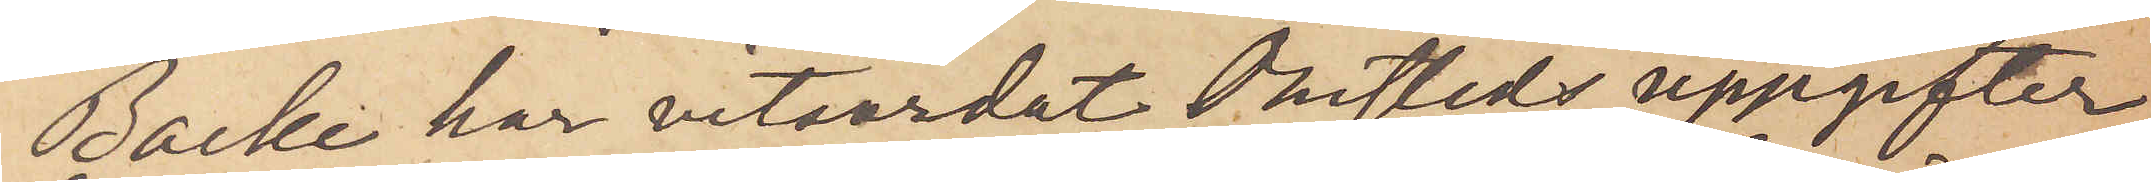Backe har vitsordat Omsteds uppgifter
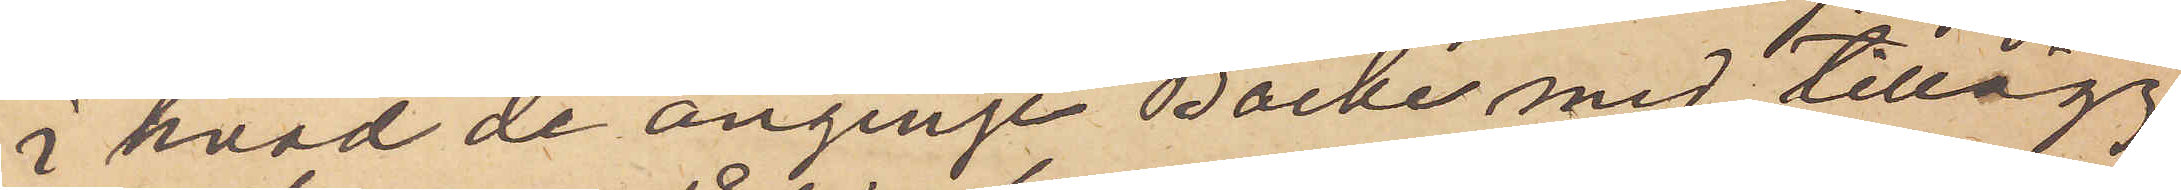i hvad de anginge Backe med tillägg
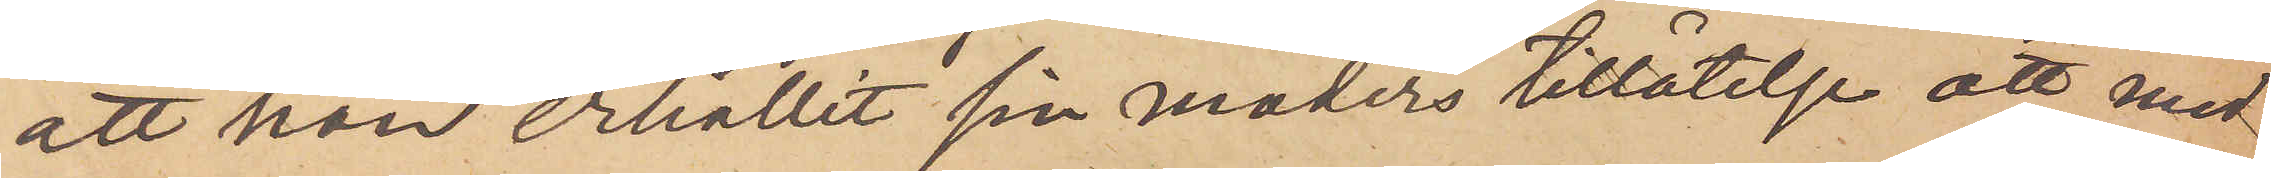att han erhållit sin moders tillåtelse att med¬
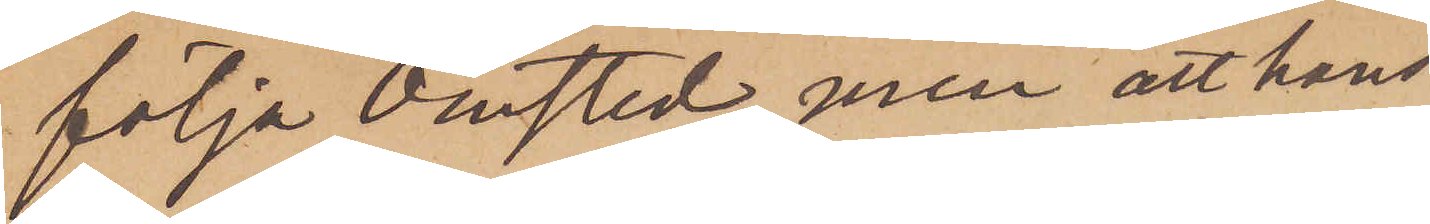följa omsted, men att hans
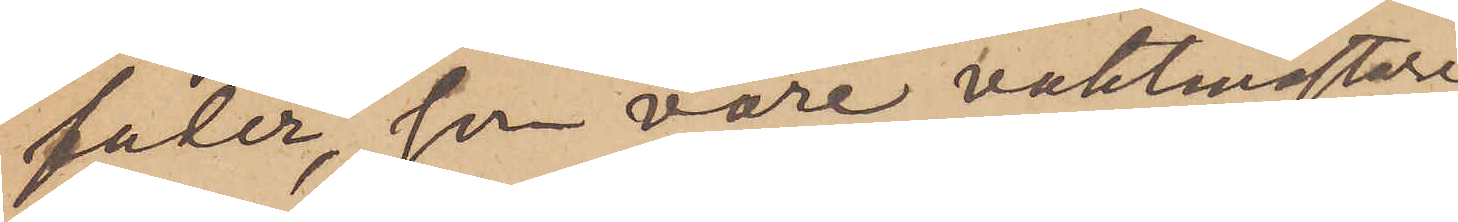faler, som vore vaktmästare
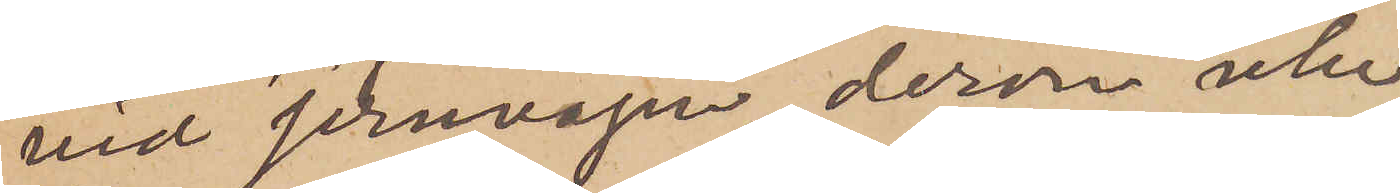vid Jernvågen der icke
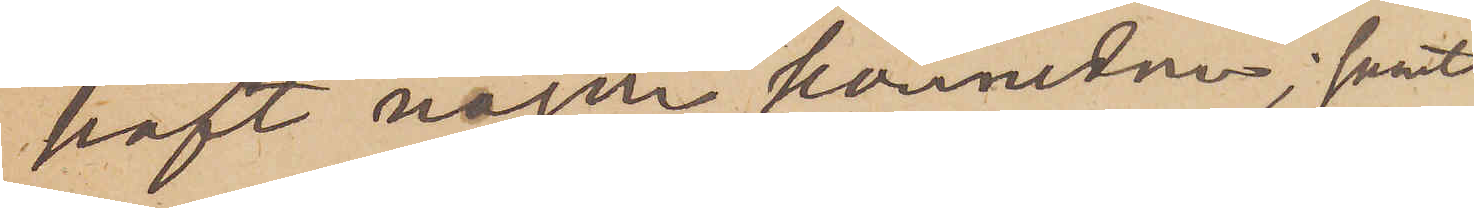haft någon kännedon; samt
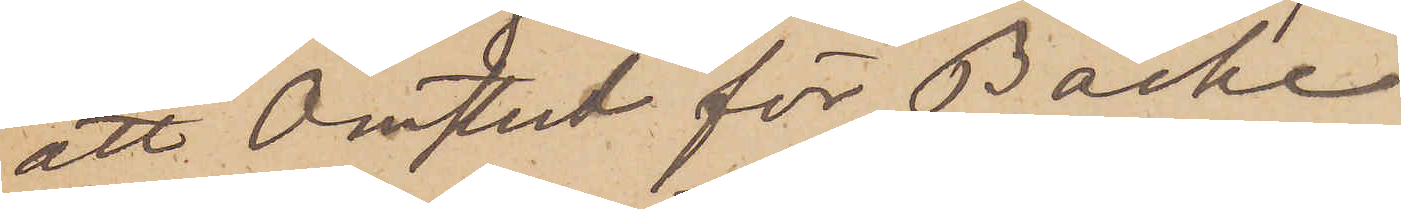att Omstut för Backe
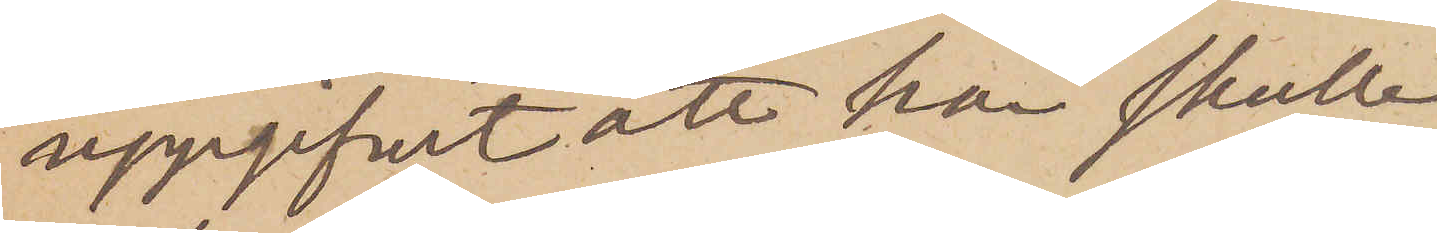uppgifvit att han skulle
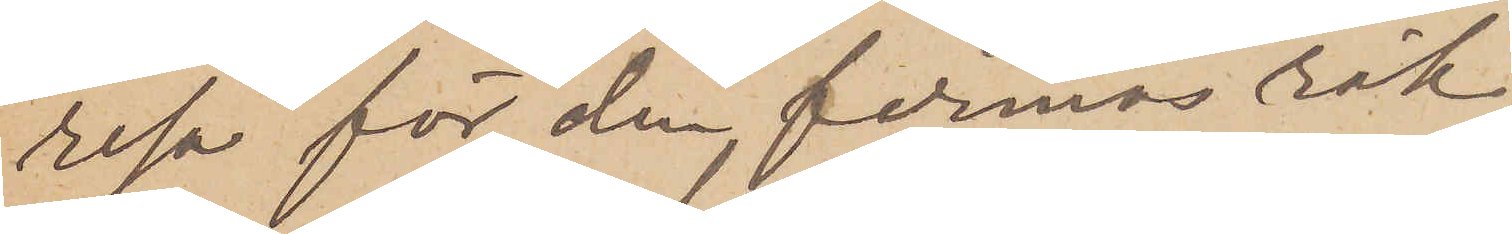resa för den firmas räk¬
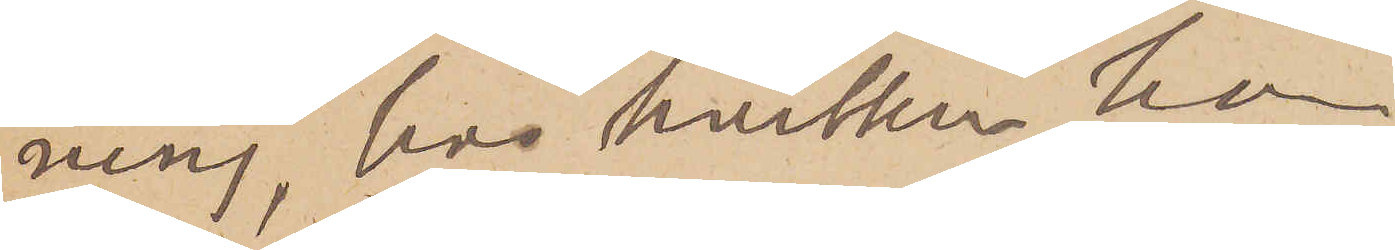ning, hos hvilken hu
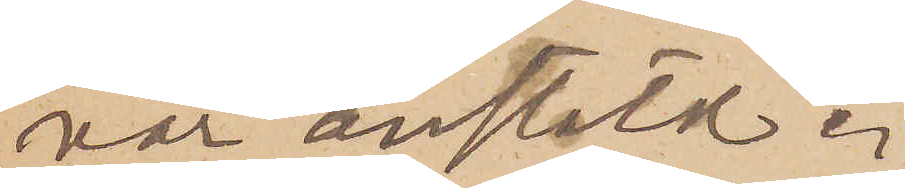var anstäld.
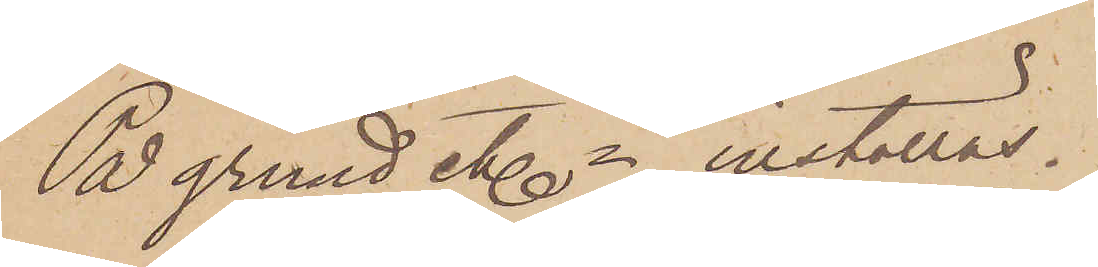På grund etc - inställas.
